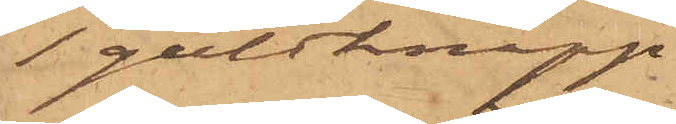1 guldknapp
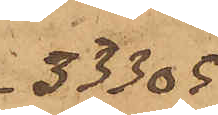33305
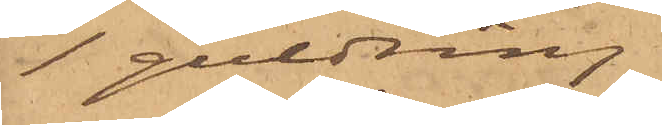1 guldring
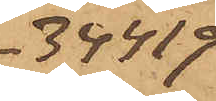34419
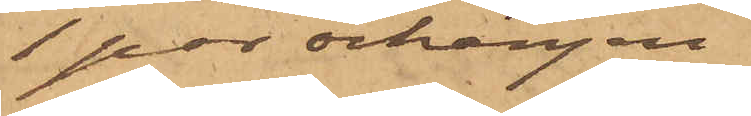1 par örhängen
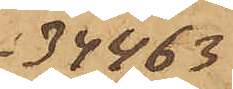34463
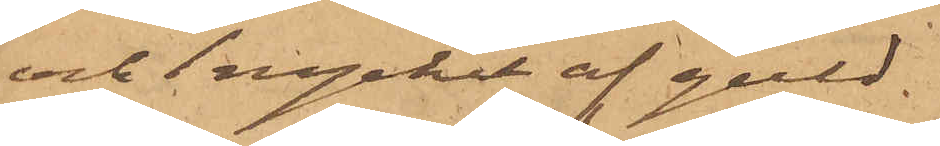och 1 nyckel af guld.
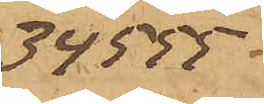34555
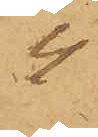4
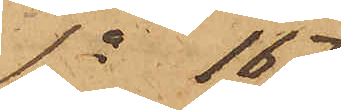Sa 167
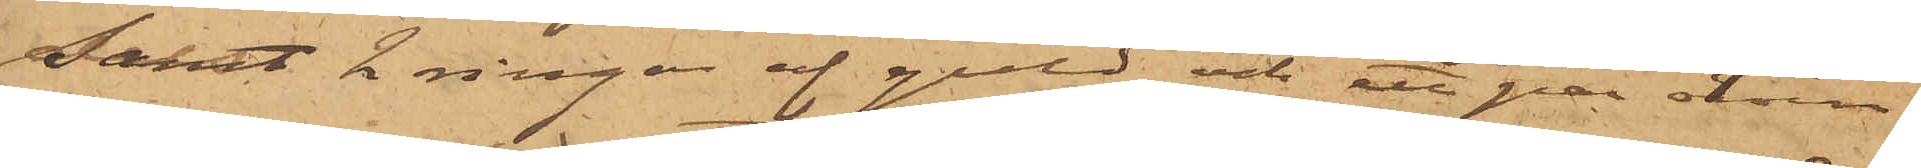Samt 2 ringar af guld och ett par örrin¬
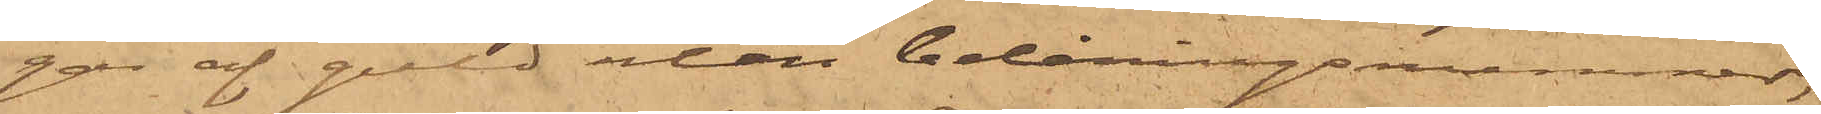gar af guld utan belåningsrummer,
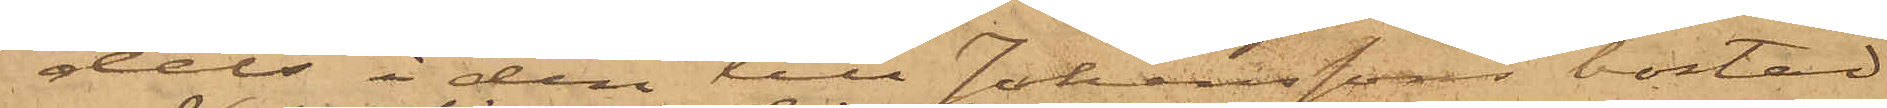dels i den till Johanssons bostad
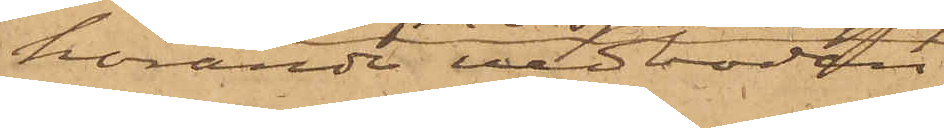hörande vedboden
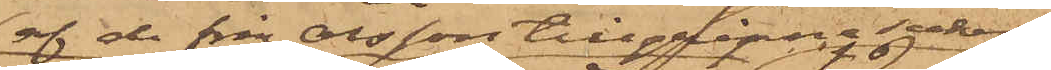af de från Olsson tillgripna saker
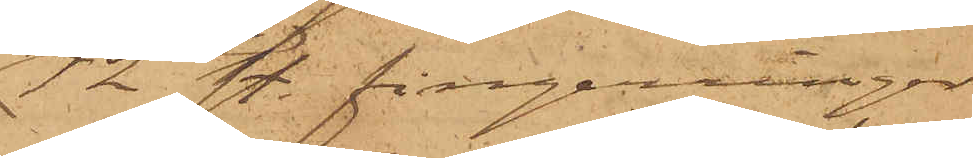12 st. fingerringar
